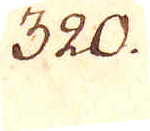320.
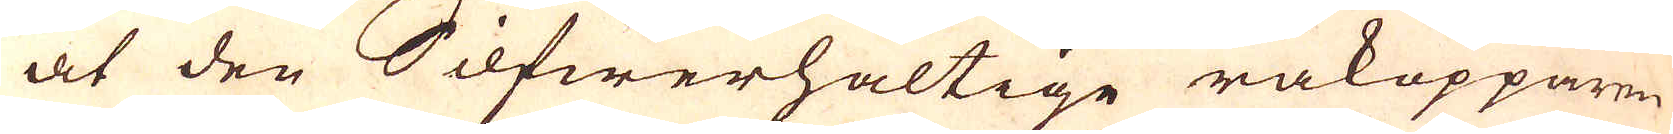at den Silfwerhaltige råkopparen
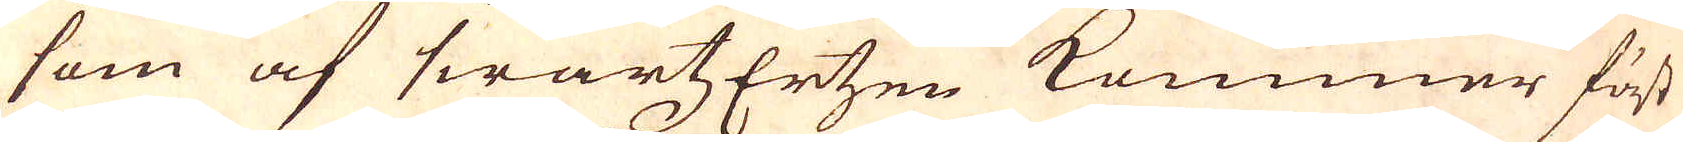som af swartzErtzen kommer först
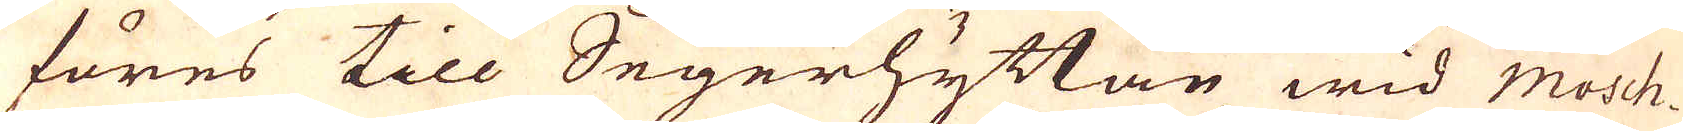föres till Segerhyttan wid Mosh-
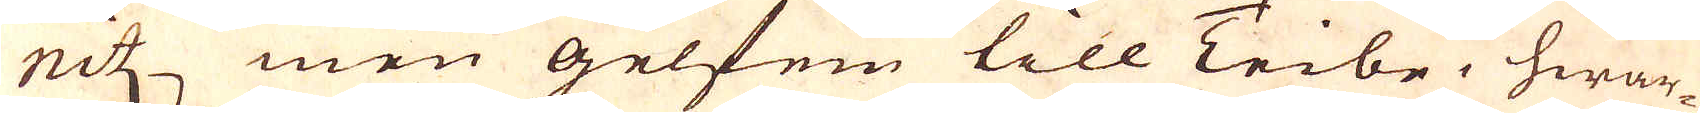nitz men gelfen till Teibe, hwar-
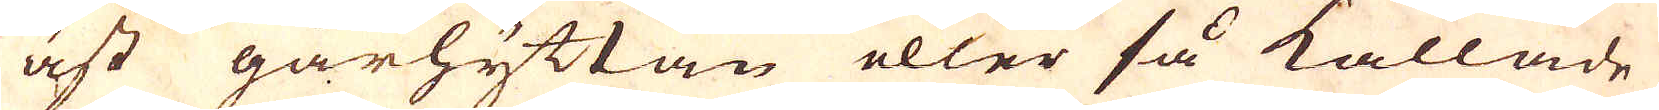äst gårhyttan eller så kallade
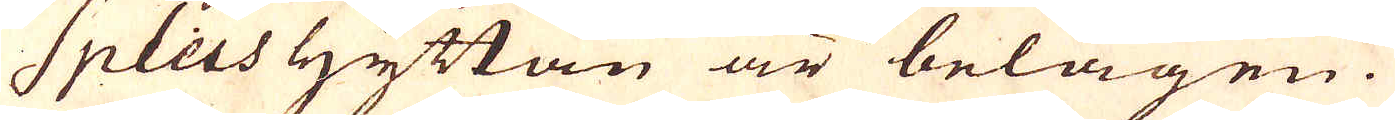Spleishyttan är belägen.
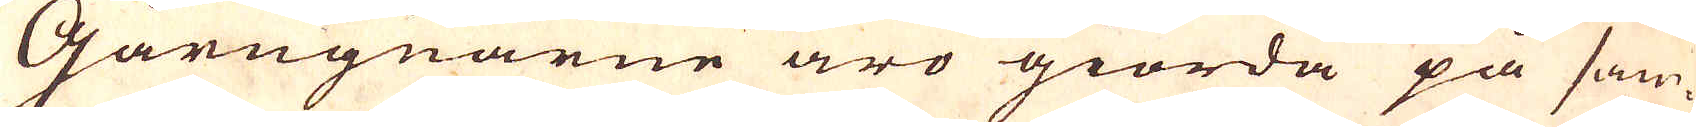Gårugnarne äro giorda på sam-
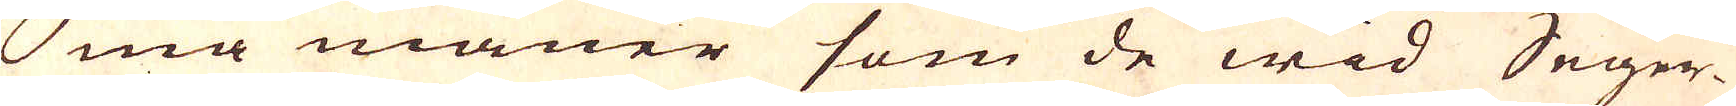ma maner som de wid Seger-
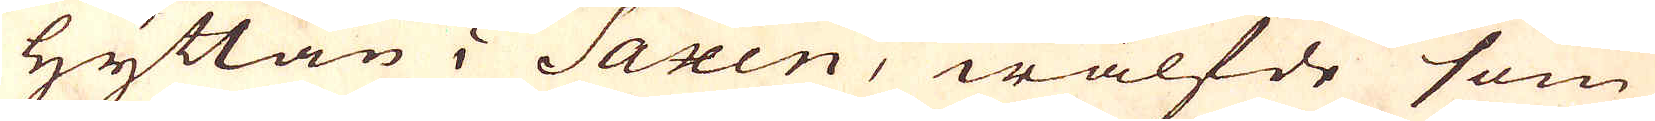hyttan i Saxen, wälfde som
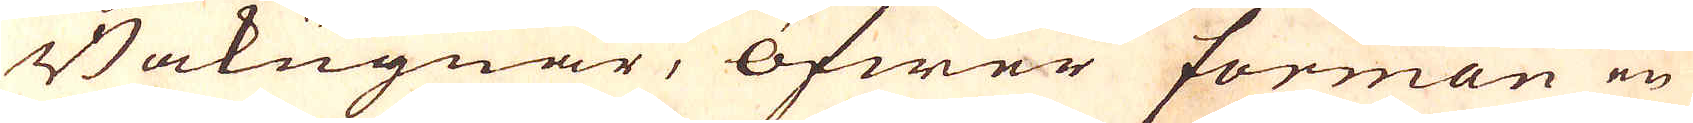Bakugnar, öfwer forman en
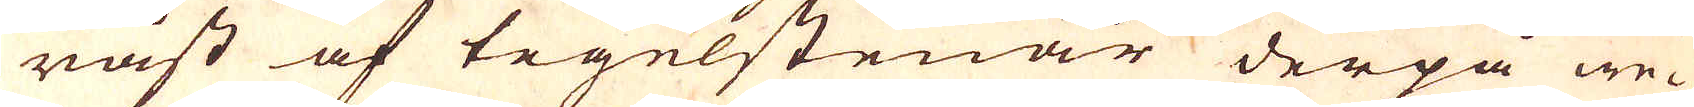råst af tegelstenar derpå we-
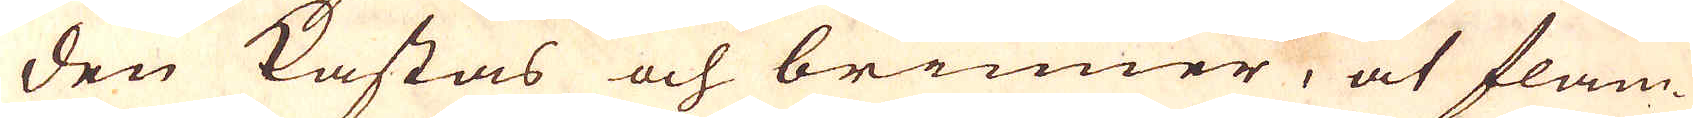den kastas och brinner, at flam-
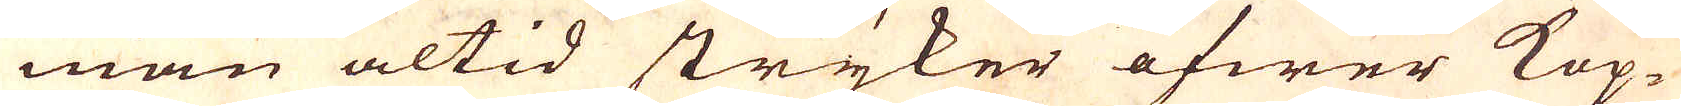man altid stryker öfwer Kop-
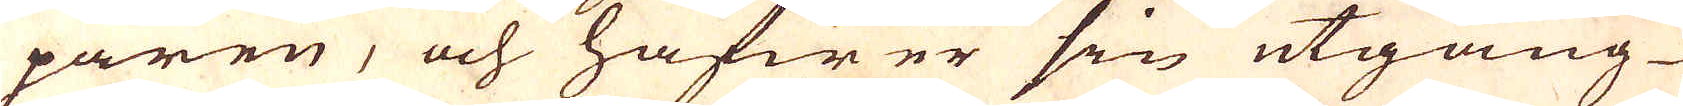paren, och hafwer sin utgång
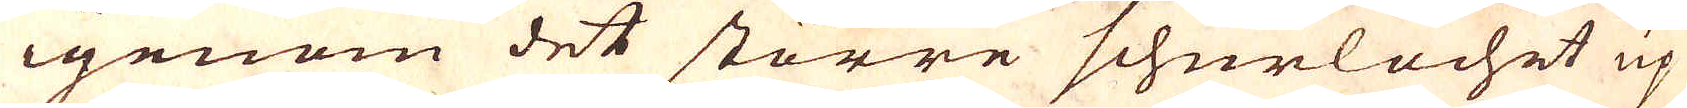igenom det större schurlochet up
